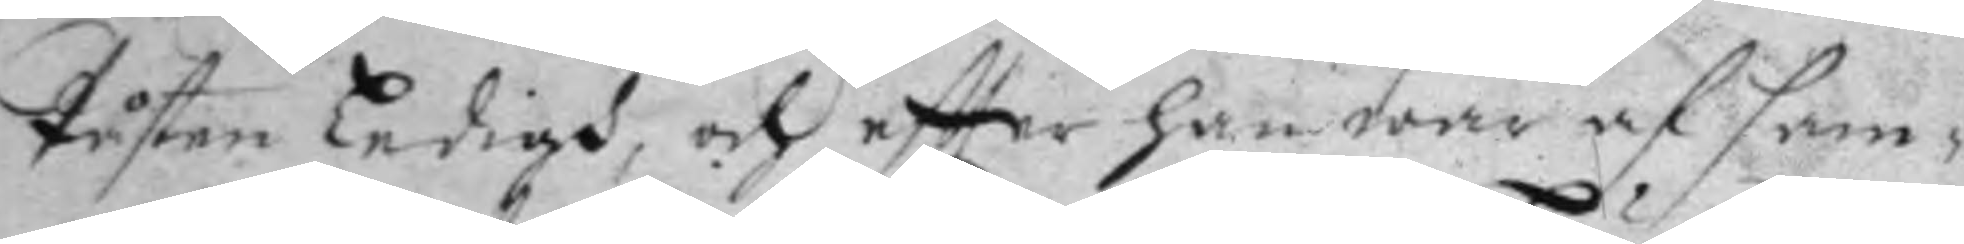Påsten ledigh, och eftter han wore af sam¬
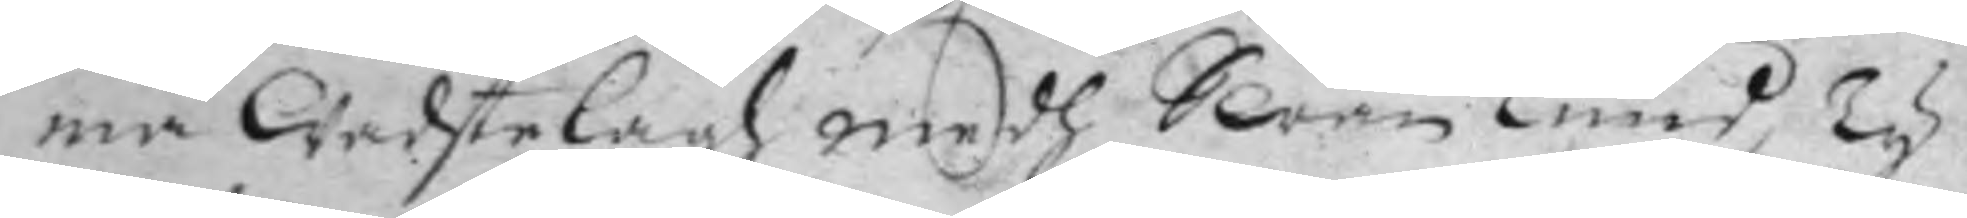ma wachtelagh medh Swän Lund, ty
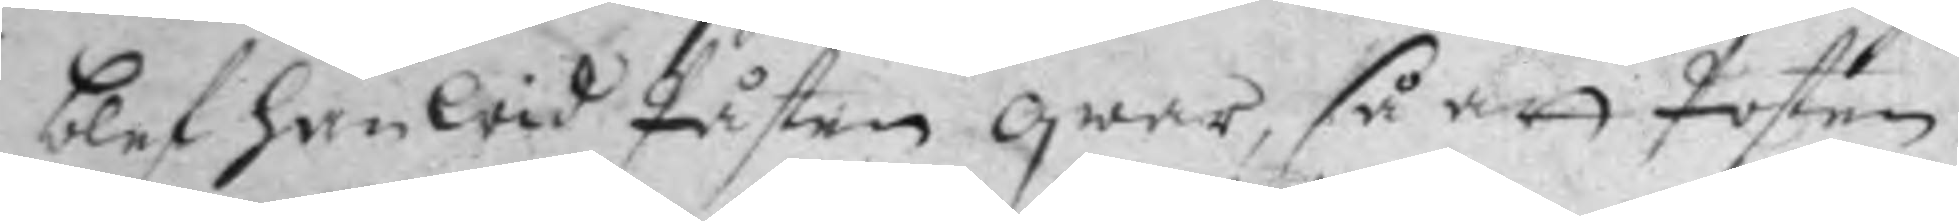blef han wid Påsten qwar, så att posten
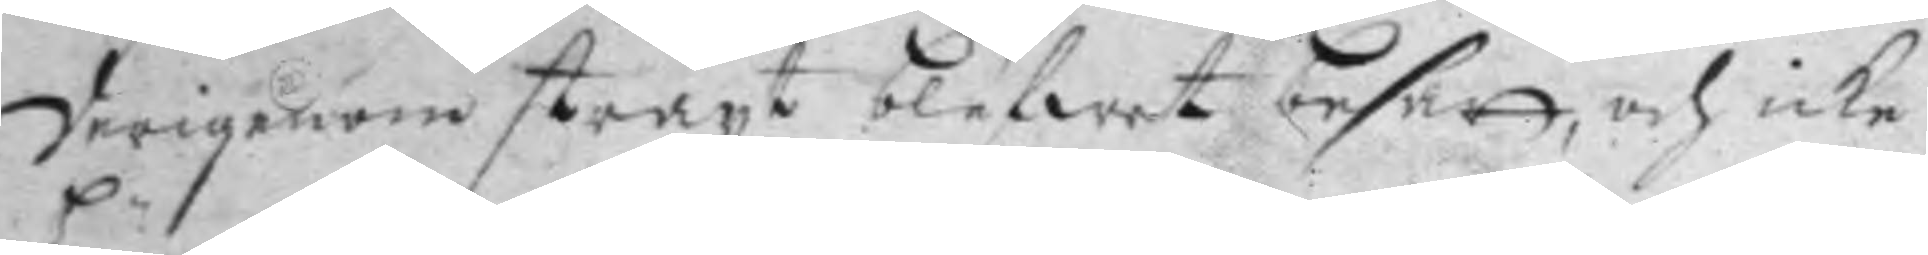derigenom straxt blefwet besatt, och icke
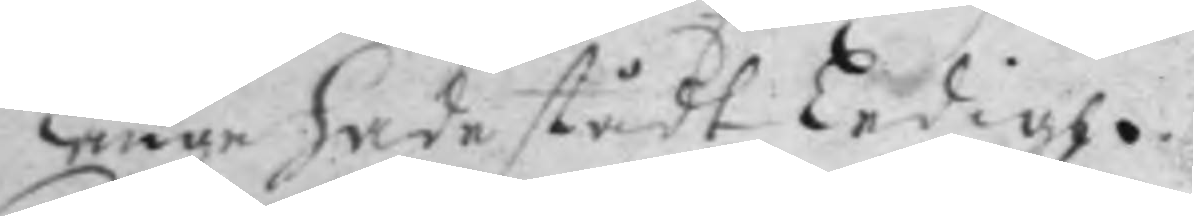längre hade stådt ledigh.
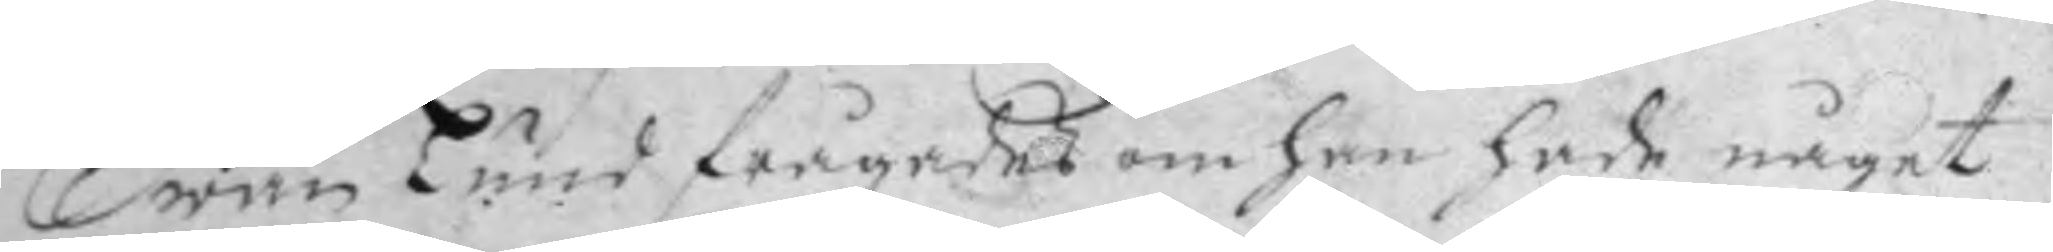Swän Lund frågades om han hade något
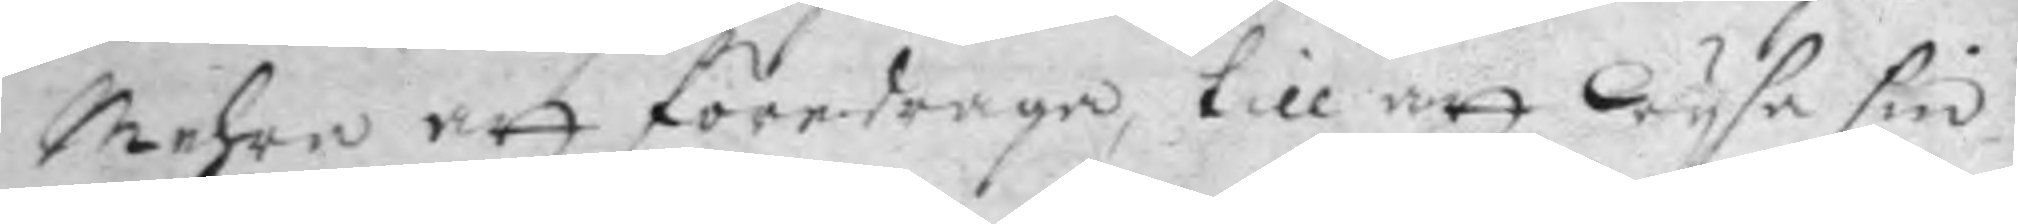mehra att föredraga, till att wysa sin
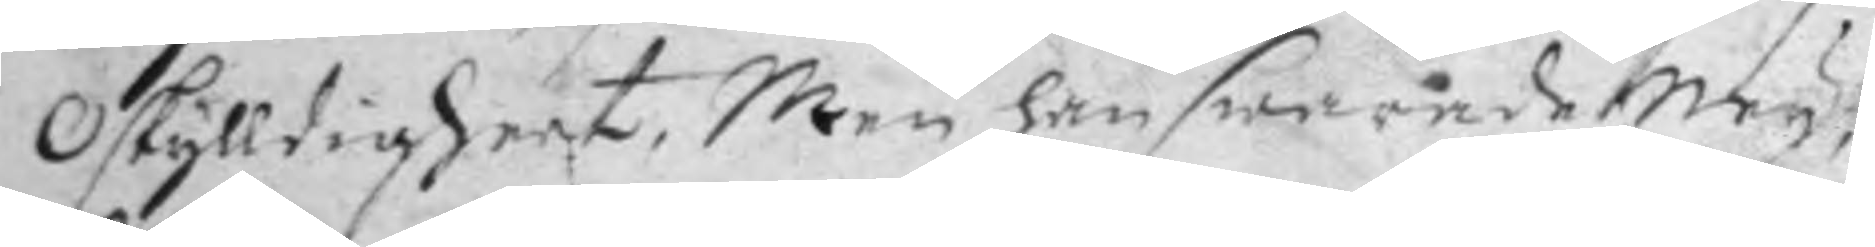oskylldigheet, men han swarade Ney,
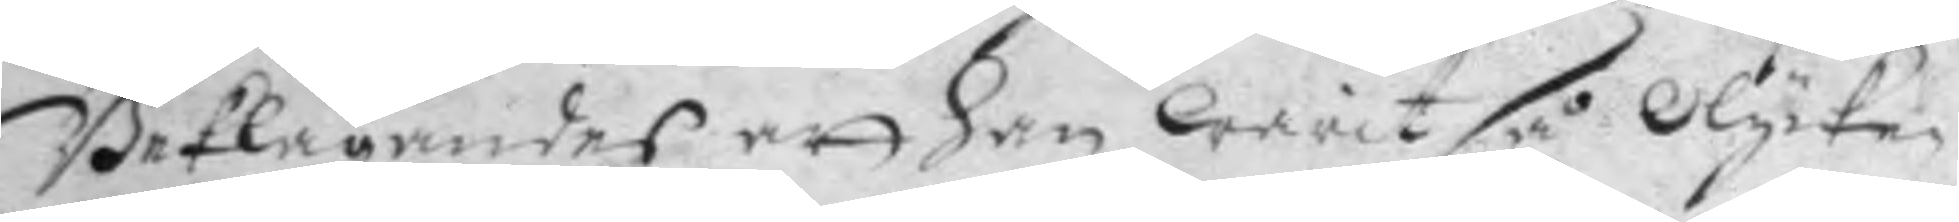Beklagandes att han warit så olycke¬
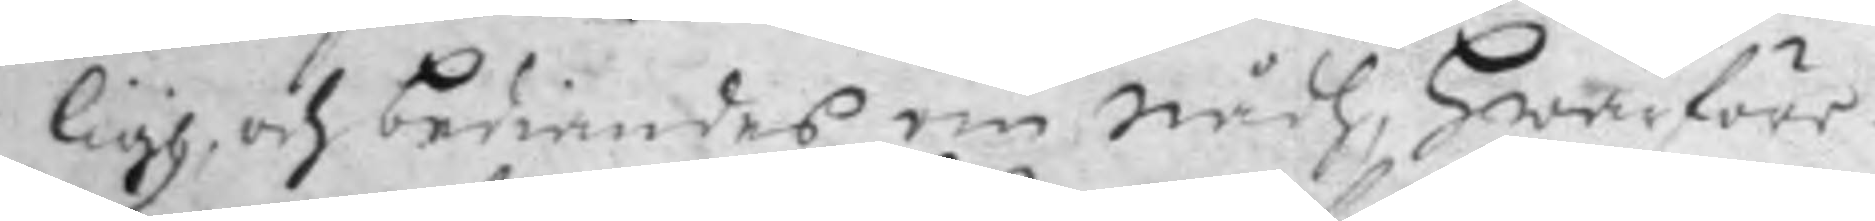ligh, och bediandes om nådh, Hwarföre
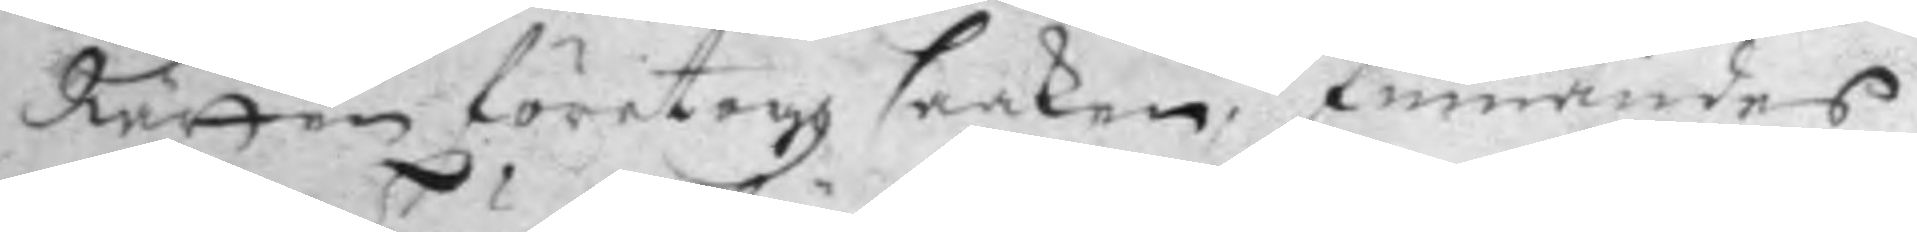Rätten företogh saken, finnandes
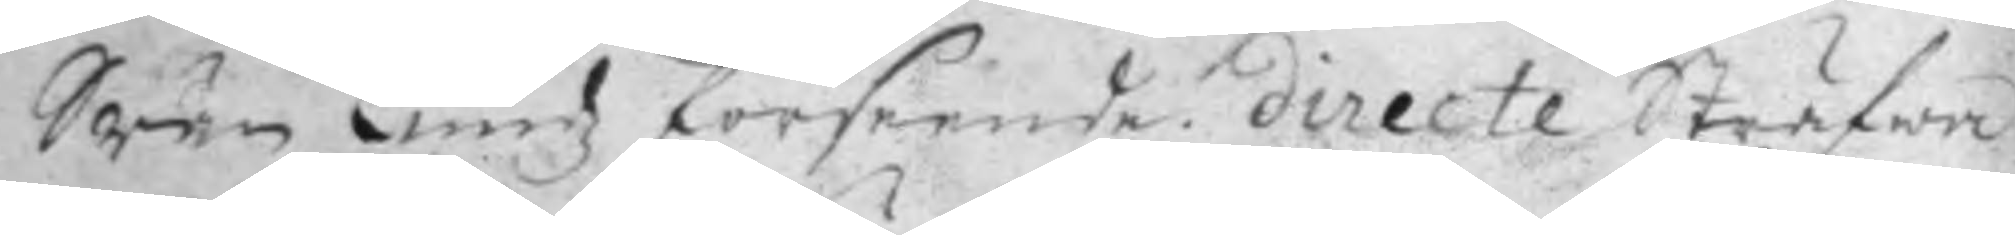Swän Lundz förseende directe Sträfwa
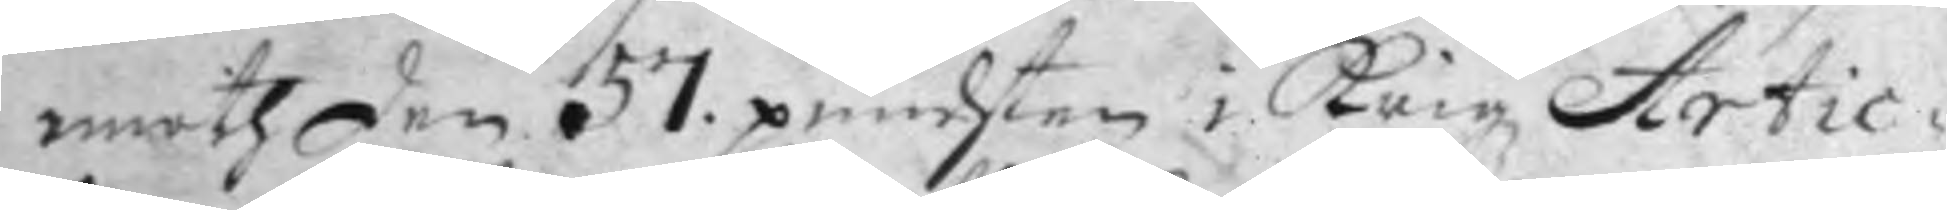emoth den 57. punchten i krigz Artic¬
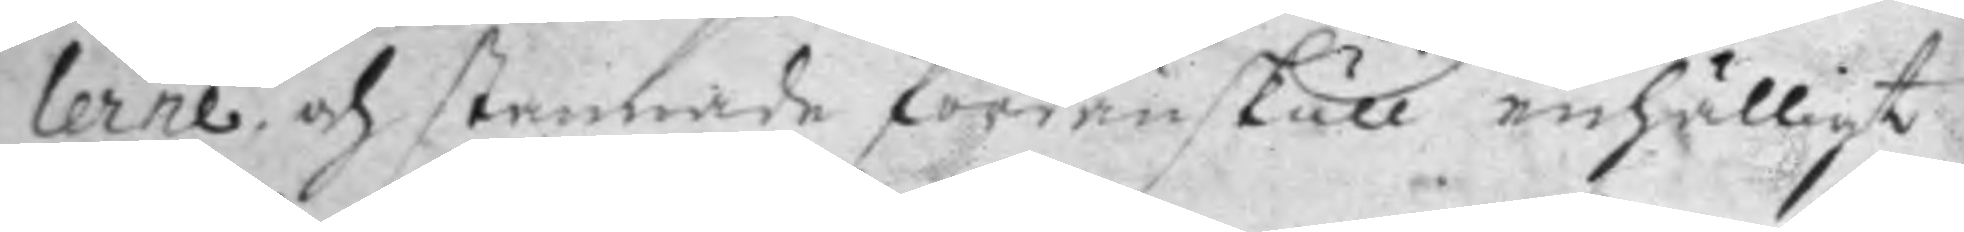laren och stannade fördenskull enhälligt
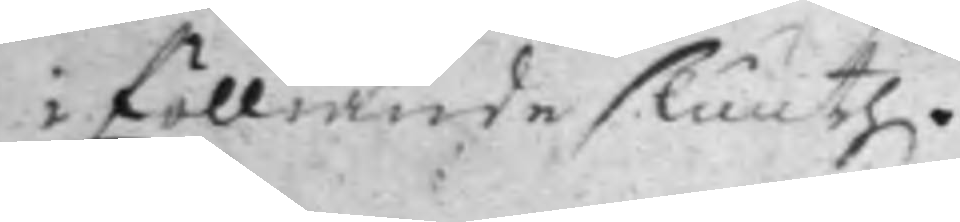i fölliande sluuth.
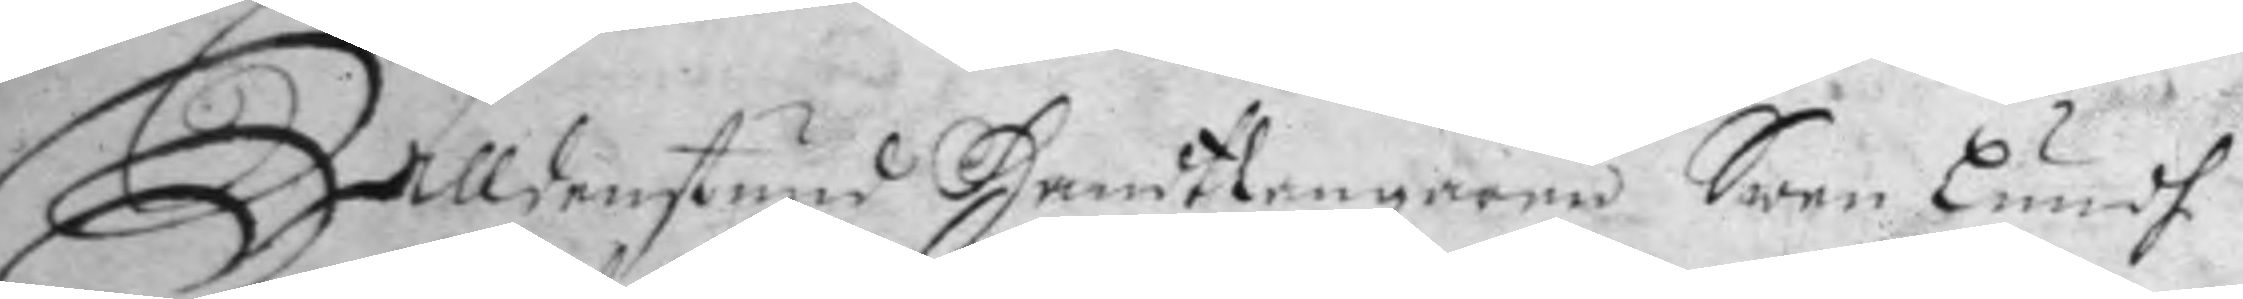Alldenstund Handtlangaren Swen Lundh
